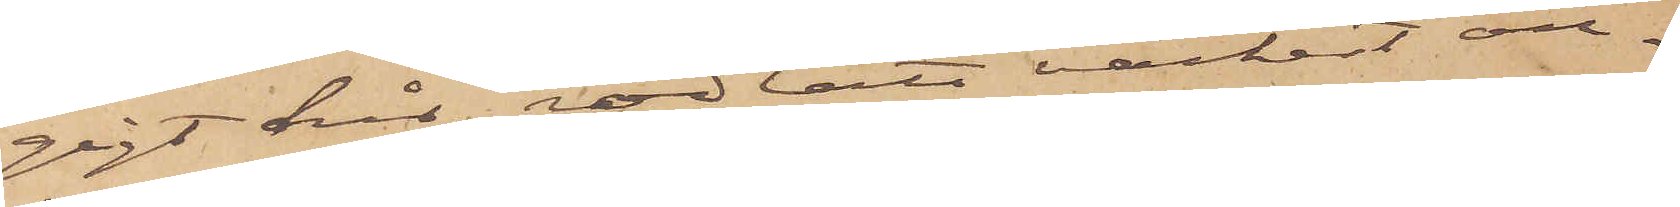gigt hår, rödlätt vackert an¬
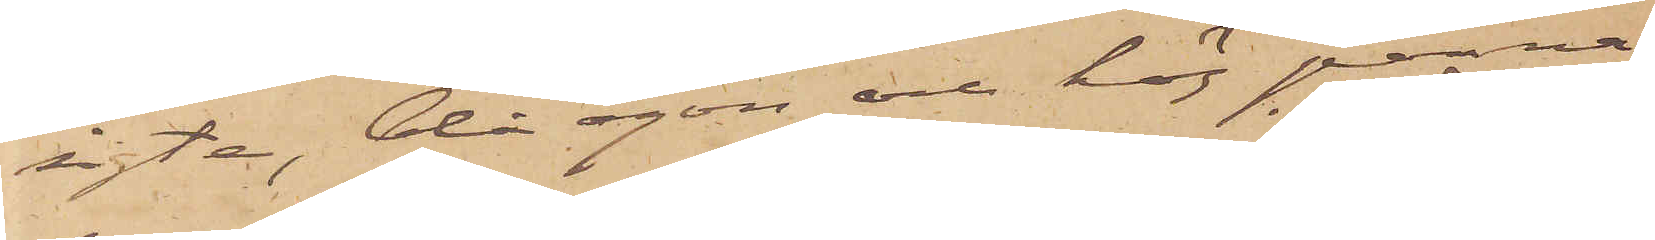sigte, blå ögon och hög panna
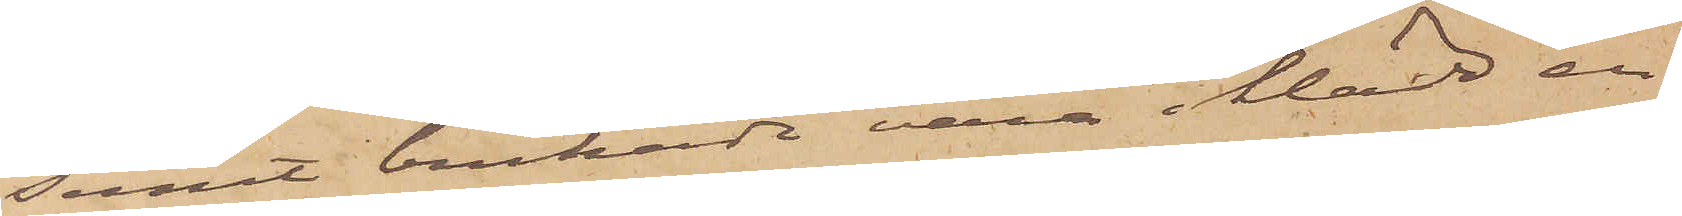samt brukade vara iklädd en
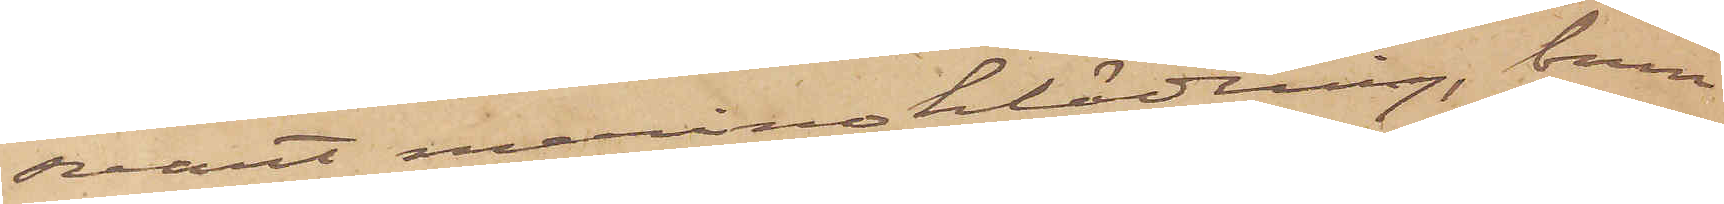svart merinoklädning, brun
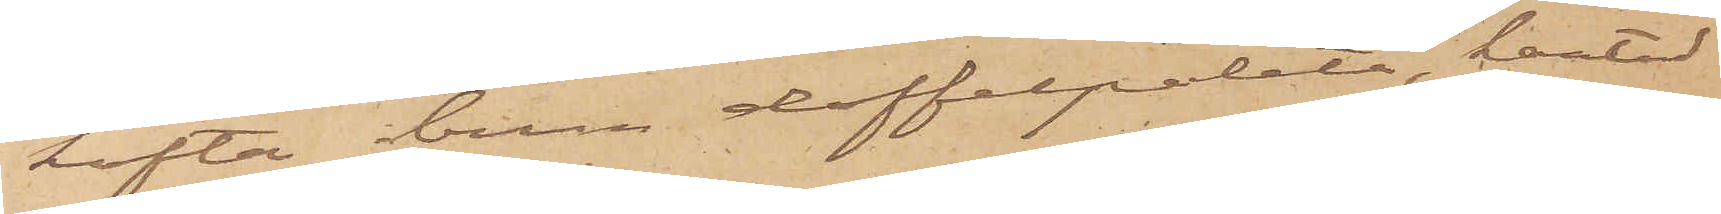kofta, brun doffelpaletå, kantad
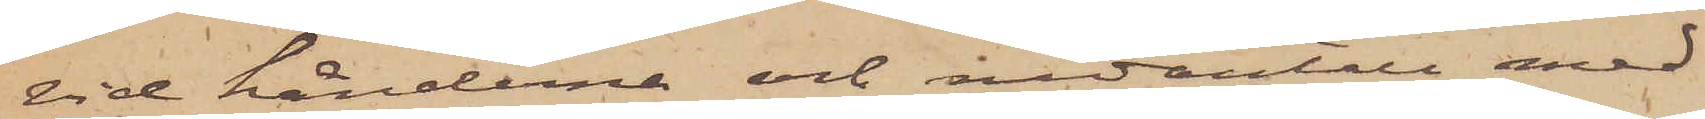vid händerna och nedantill med
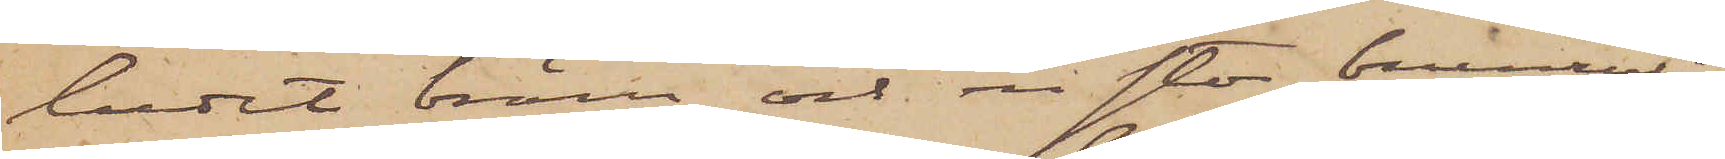ludet bräm och en stor brunrutig
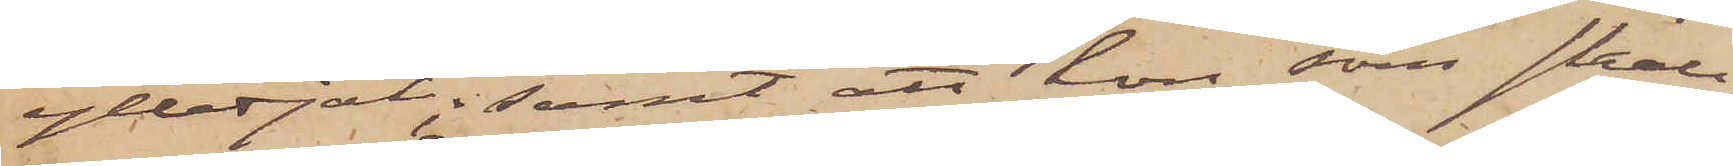yllesjal; samt att hon, som skall
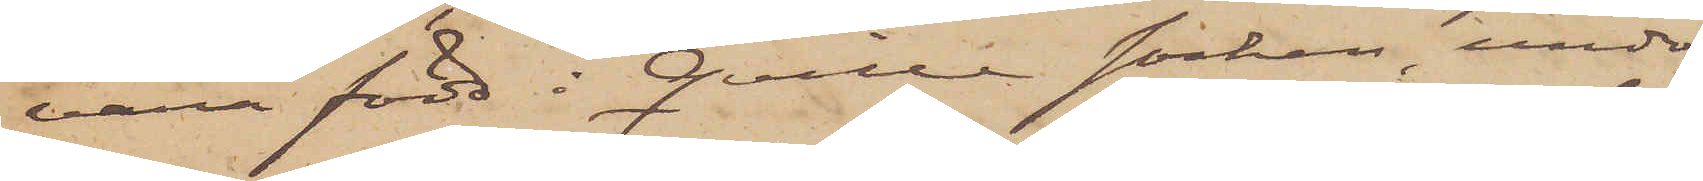vara född i Qville socken, under
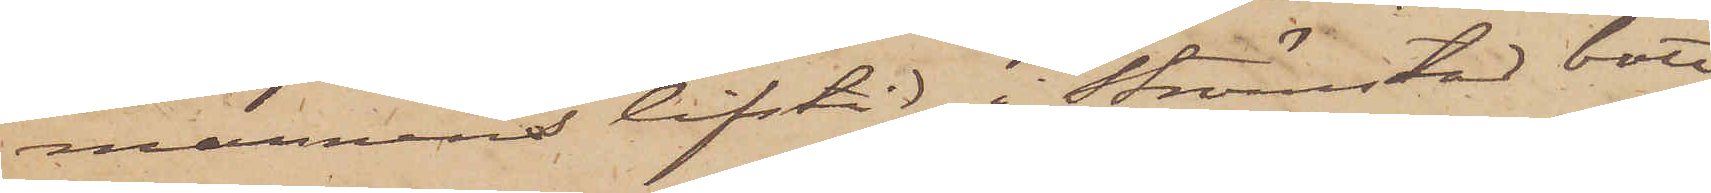mannens lifstid i Strömstad bott
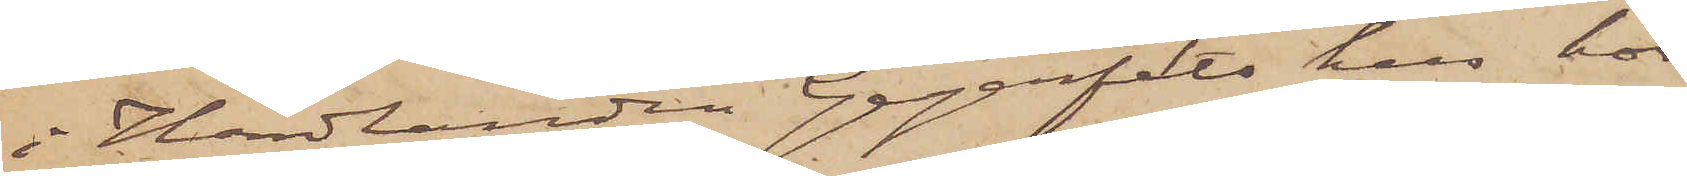i Handlanden Gegerfelts hus hos
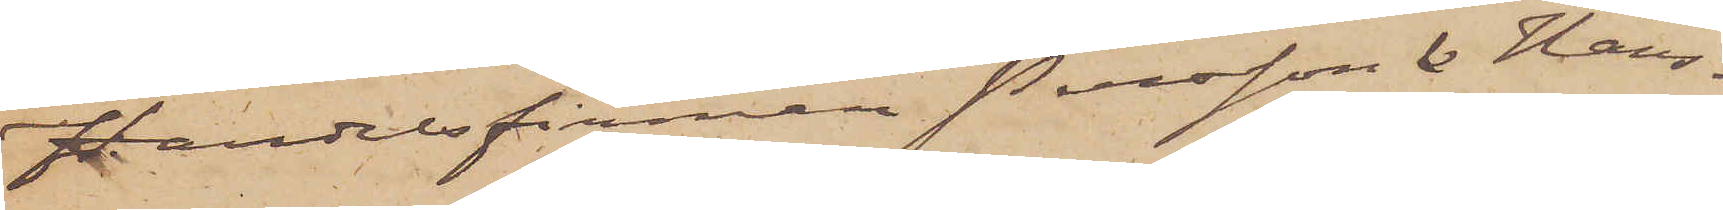Handelsfirman Persson  & Hans¬
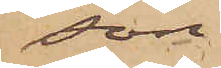son.
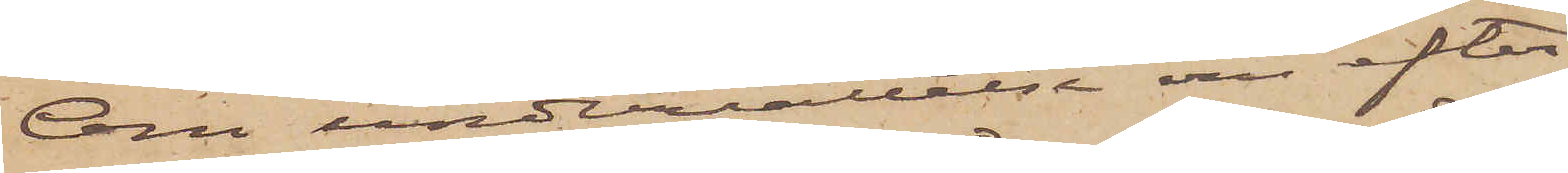Om underrättelse om efter¬
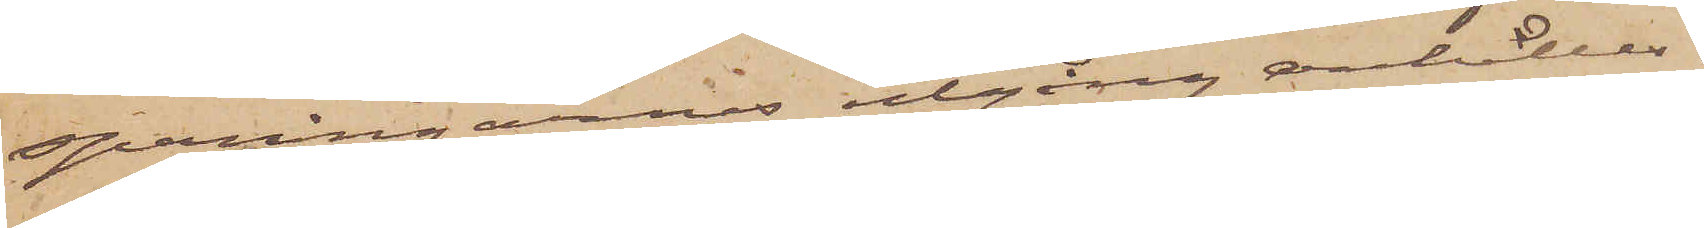spaningarnes utgång anhålles.
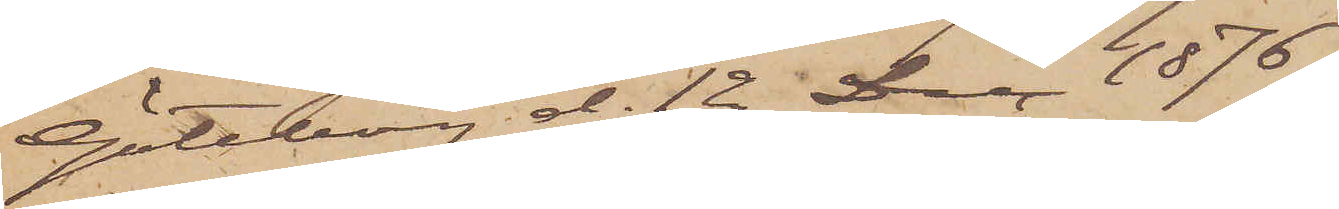Göteborg d. 12 Dec. 1876.
